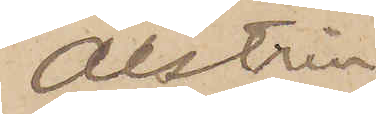Alstrin.
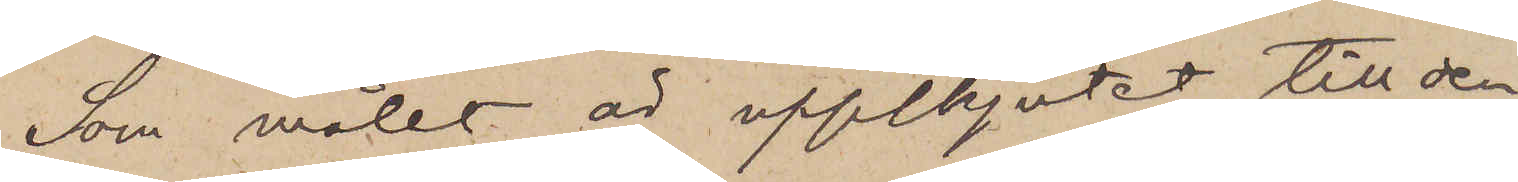Som målet är uppskjutet till den
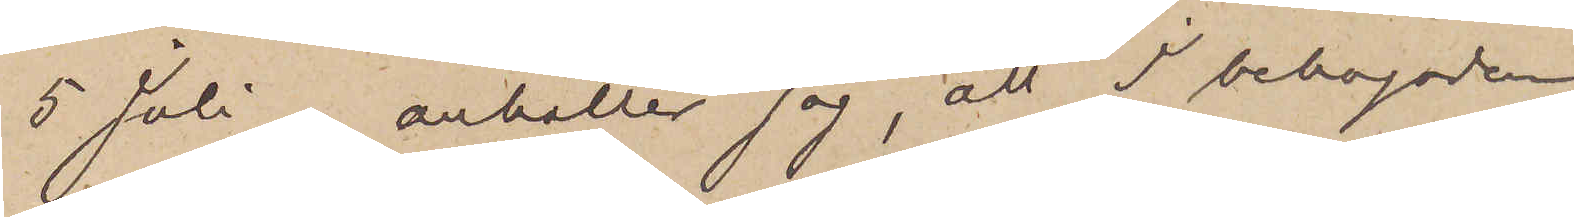5 Juli, anhåller jag, att I behagade
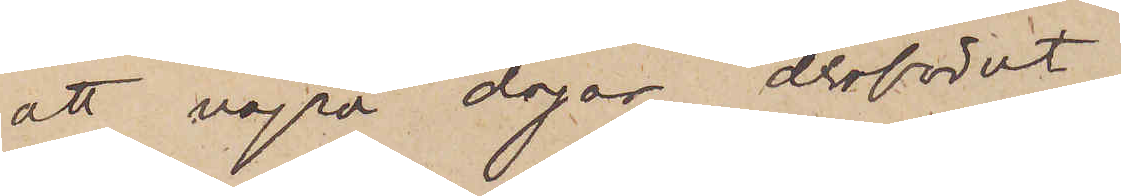att några dagar derförut
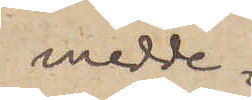medde¬
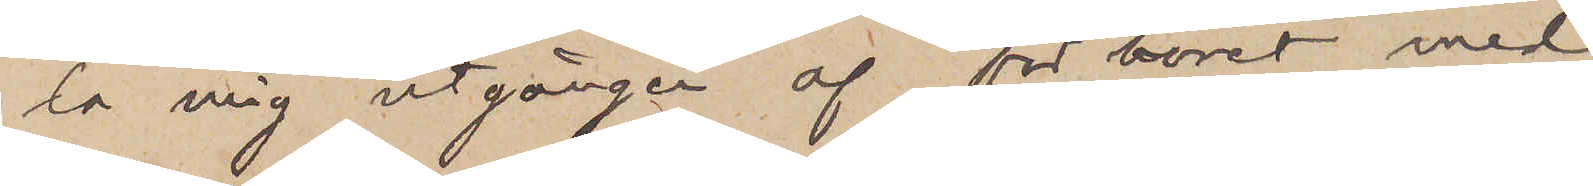la mig utgången af förhöret med
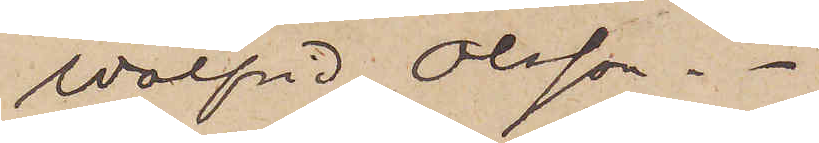Walfrid Olsson.
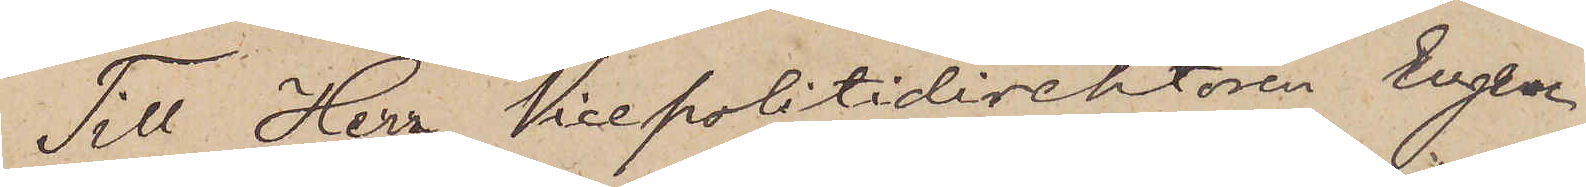Till Herr Vicepolitidirektören Eugen
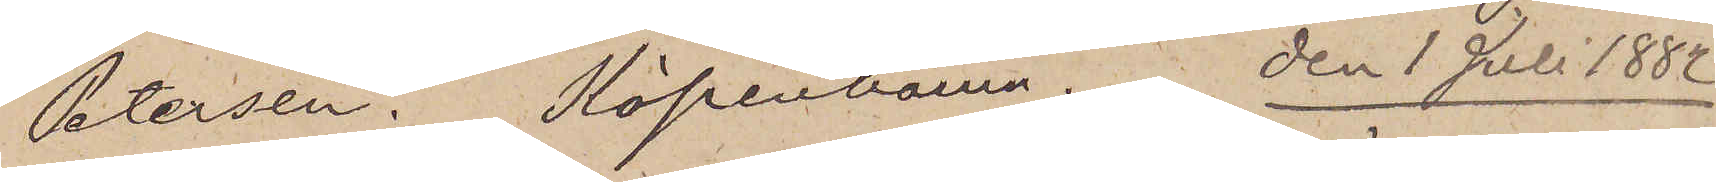Petersen. Köpenhamn. den 1 Juli 1882
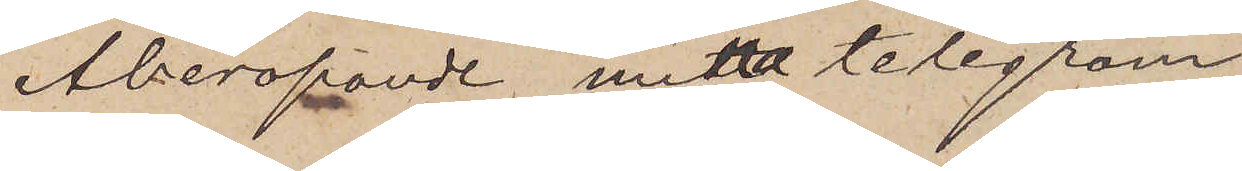Åberopande mitt telegram
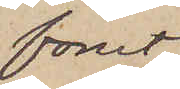förut
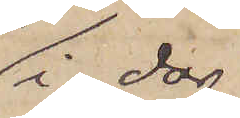i dag,
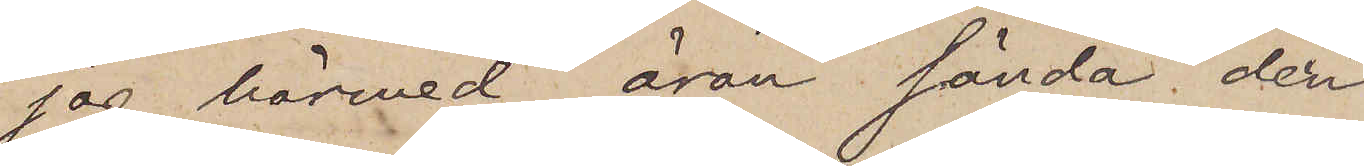jag härmed äran sända den
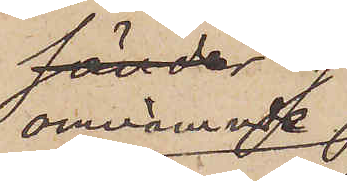omnämnde
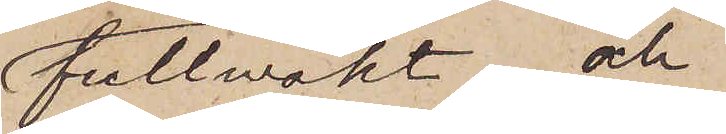fullmakt och
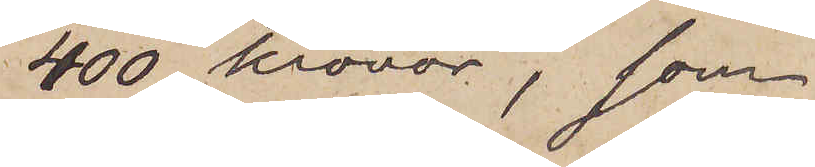400 kronor, som
